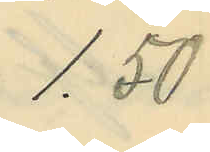1,50
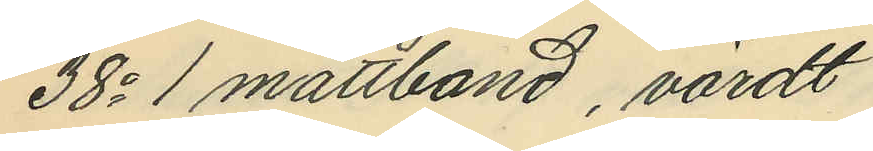38o 1 måttband, värdt
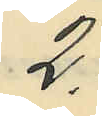2.-
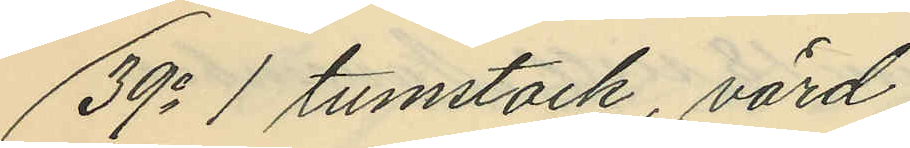39o 1 tumstock, värd
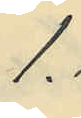1:-
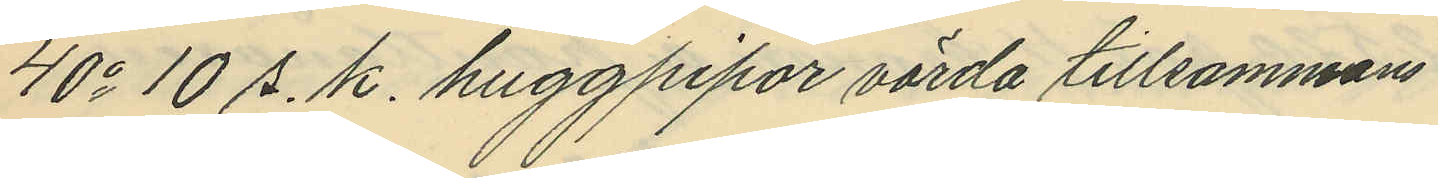40o 10 s. k. huggpipor värda tillsammans
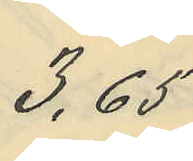3,65
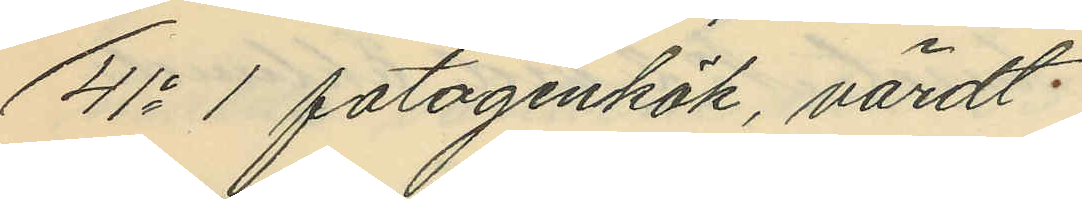41o 1 fotogenkök, värdt
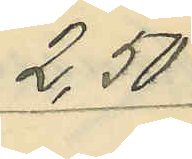2,50
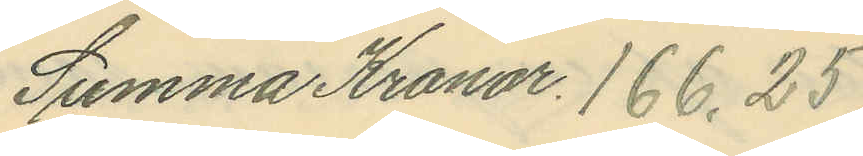Summa Kronor 166.25.
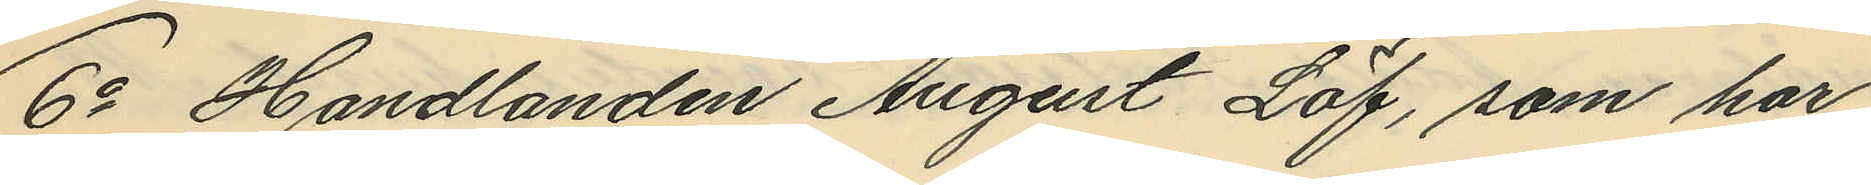6o Handlanden August Löf, som har
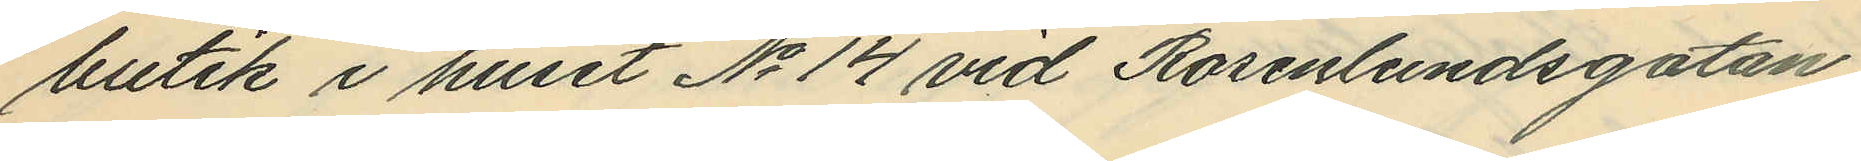butik i huset No 14 vid Rosenlundsgatan,
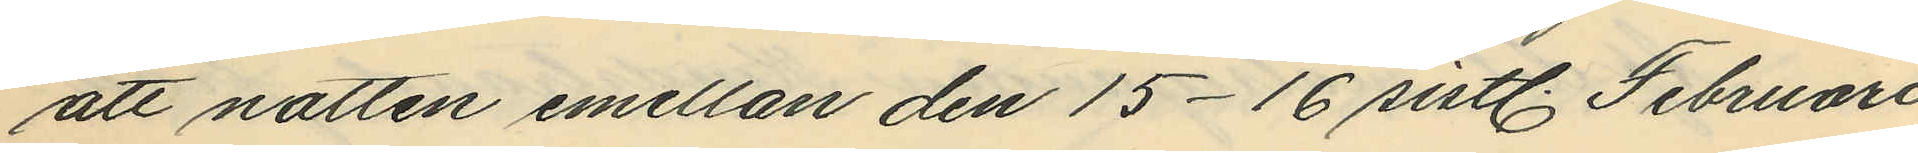att natten emellan den 15-16 sistl. Februari
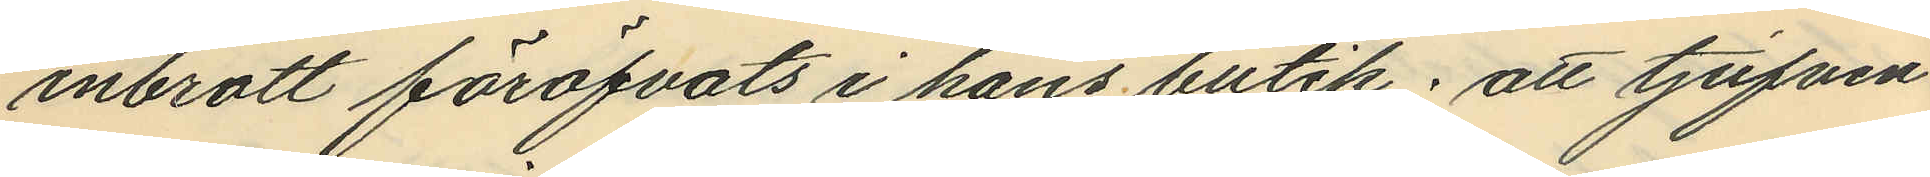inbrott föröfvats i hans butik; att tjufven
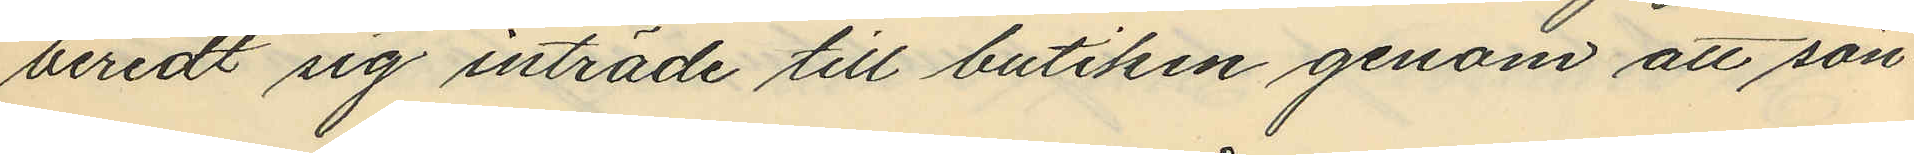beredt sig inträde till butiken genom att sön¬
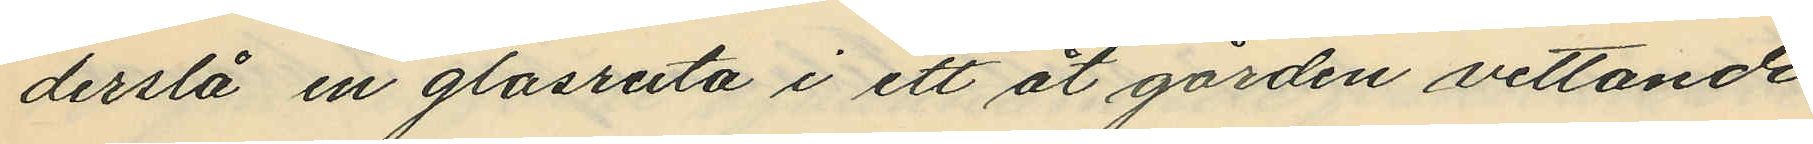derslå en glasruta i ett åt gården vettande
